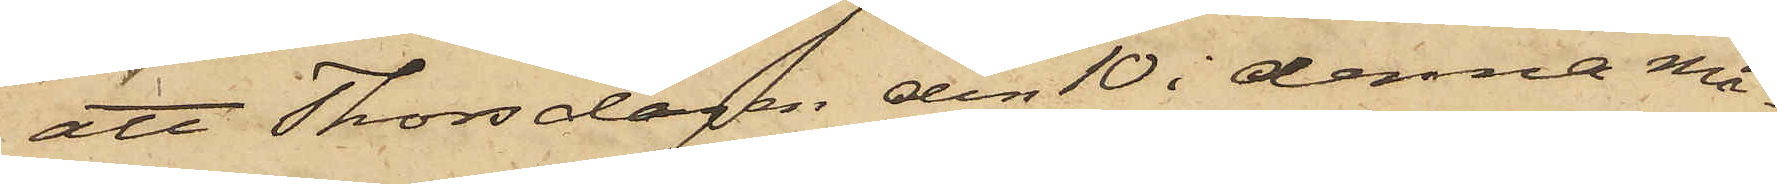att Thorsdagen den 10 i denna må¬
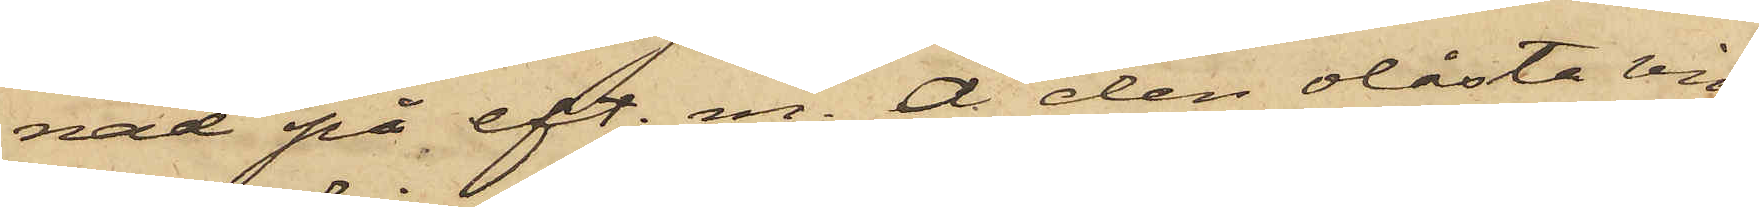nad på eft. m. å den olåsta vin¬
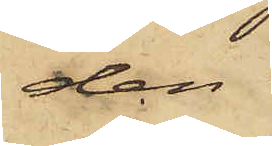den
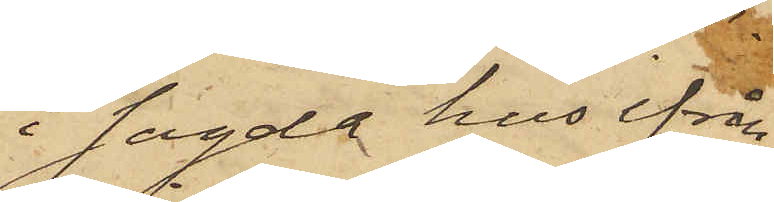sagde hus ifrån
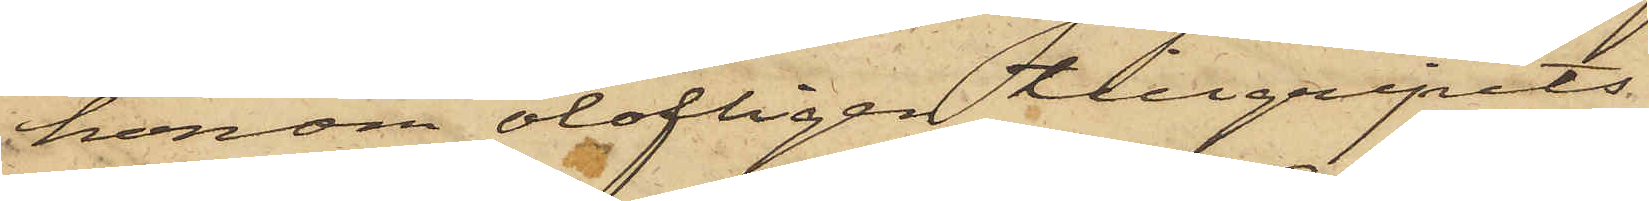honom olofligen tillgripits
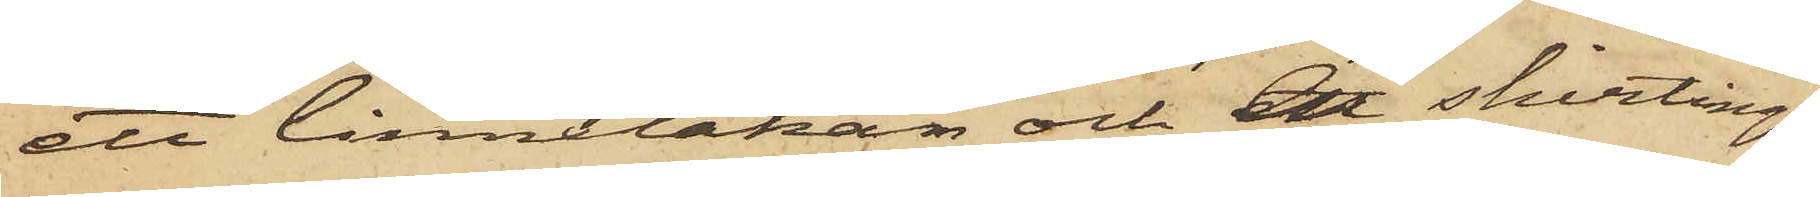ett linnelakan och en skirtings¬
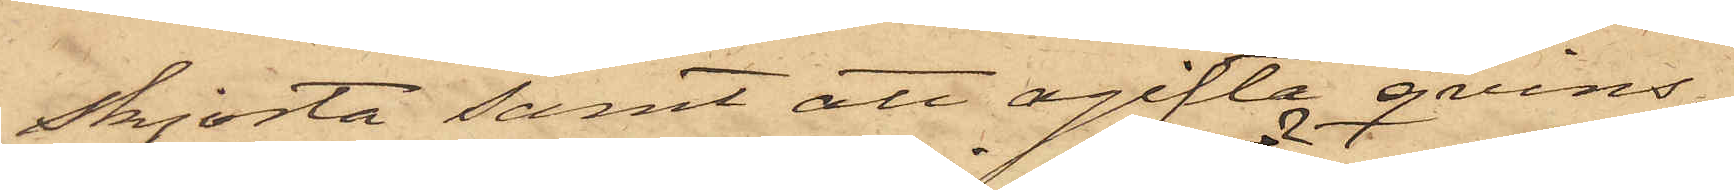skjorta samt att ogifta qvins¬
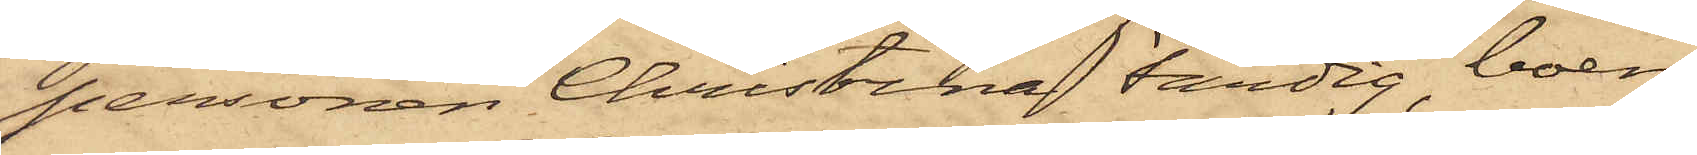personen Christina Färdig, boen¬
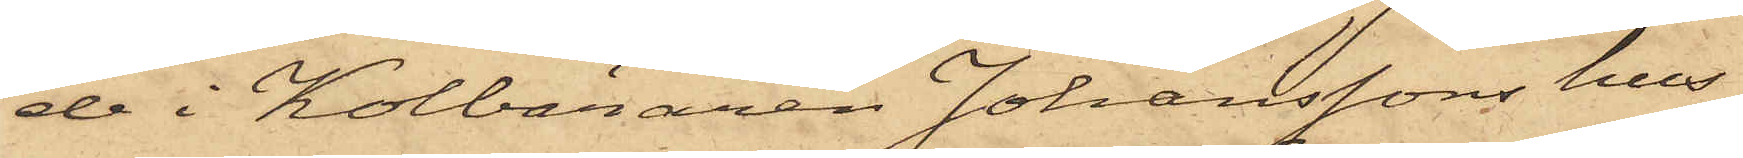de i Kolbäraren Johanssons hus
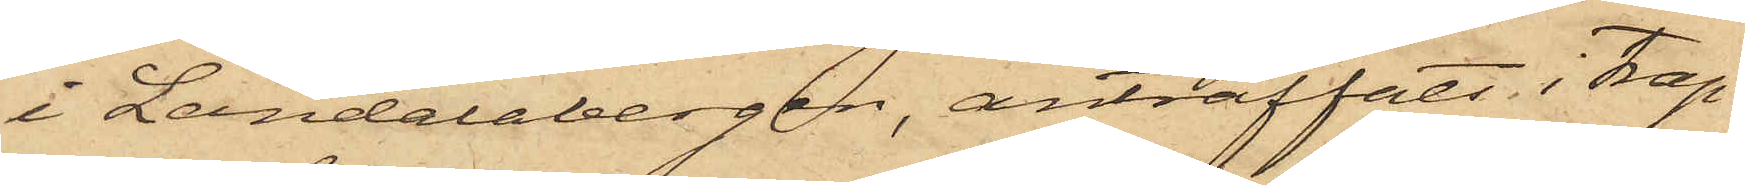i Landalabergen, anträffats i trap¬
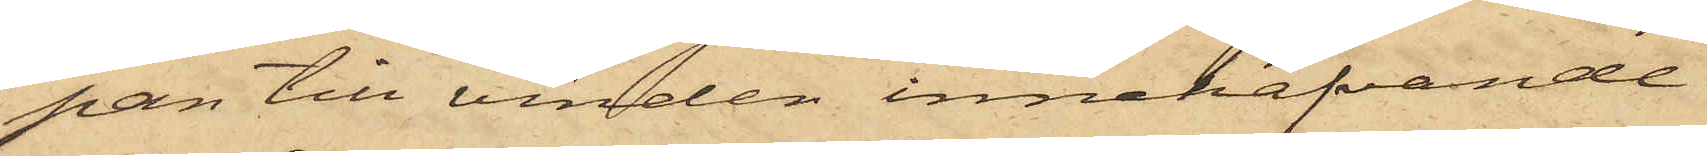pan till vinden innehafvande
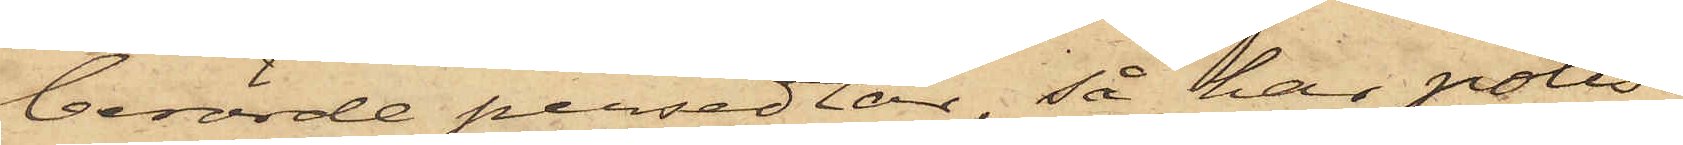berörde persedlar, så har polis¬
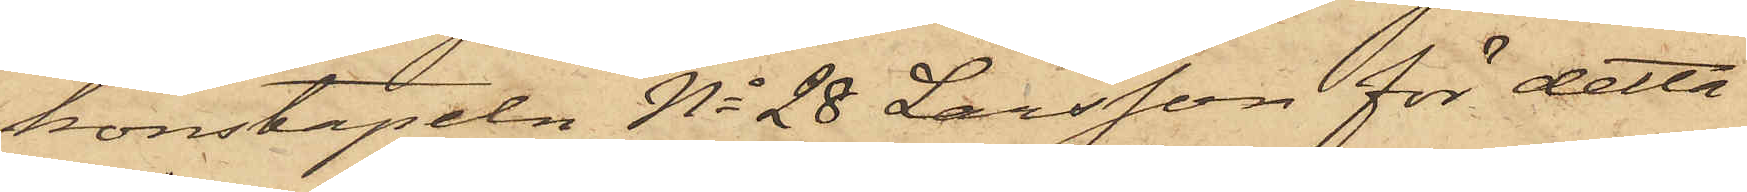konstapeln No 28 Larsson för detta
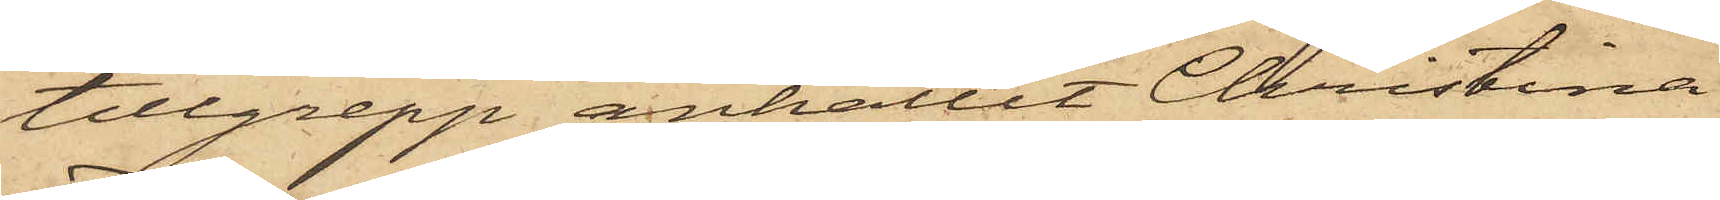tillgrepp anhållit Christina
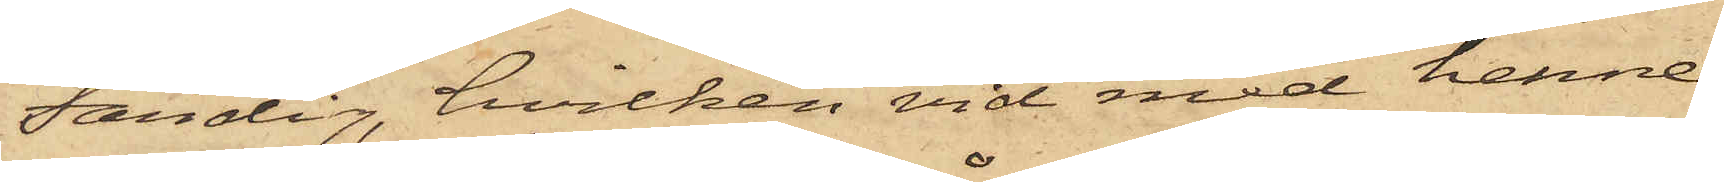Färdig, hvilken vid med henne
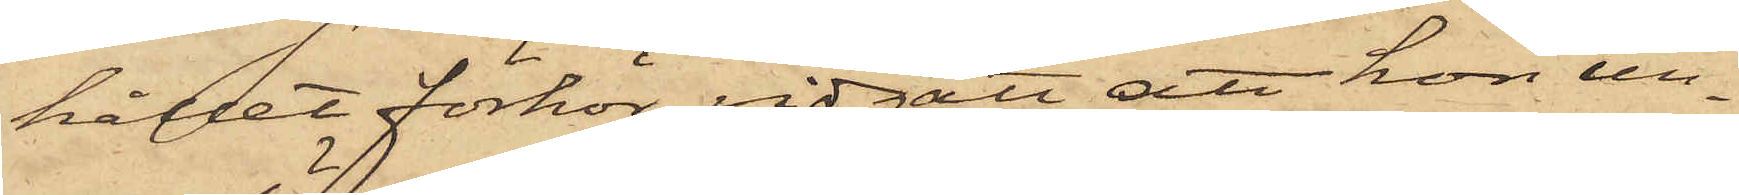hållet förhör vidgått, att hon un¬
